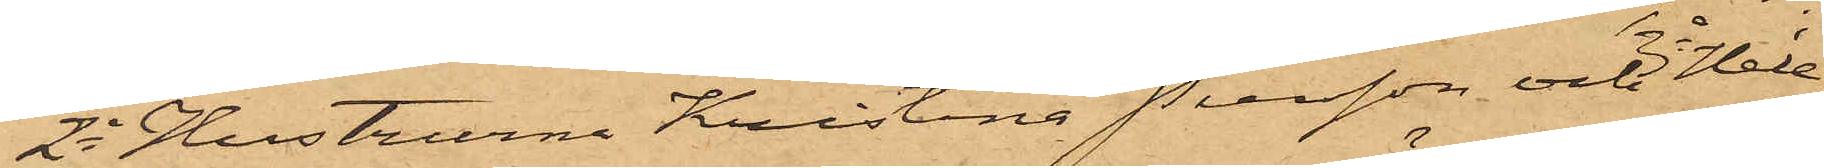2o Hustrurna Kristina Person och 3o Hele¬
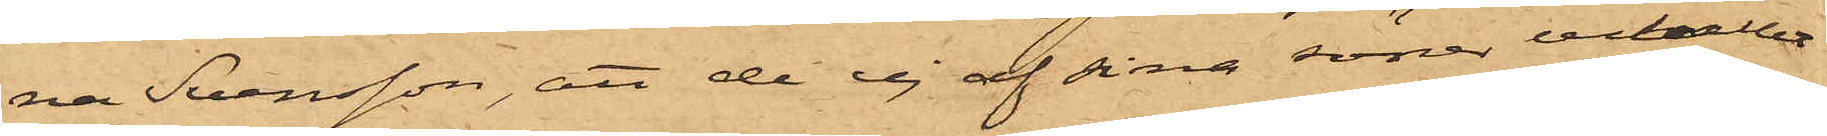na Svensson, att de ej af sina söner erhållit
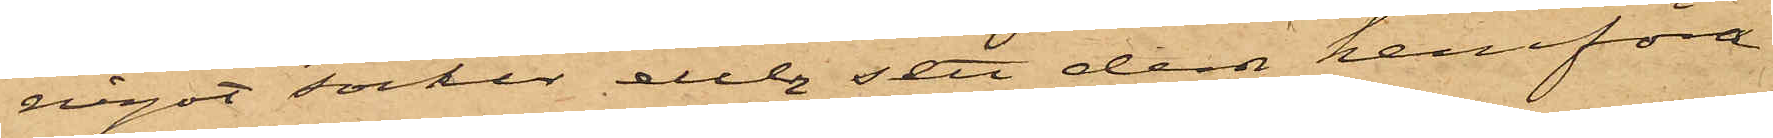något socker eller sett dem hemföra
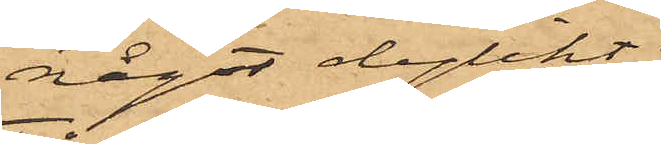något dylikt;
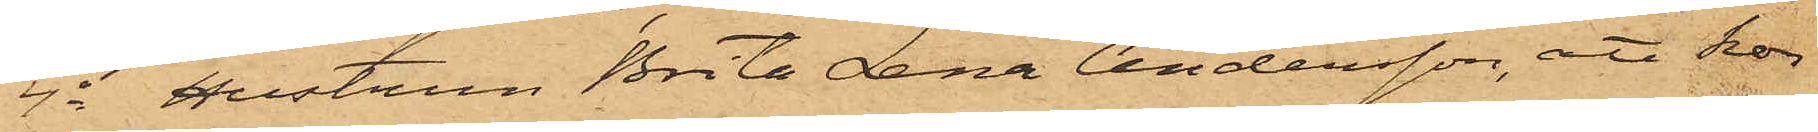4o Hustrun Brita Lena Andersson, att hon
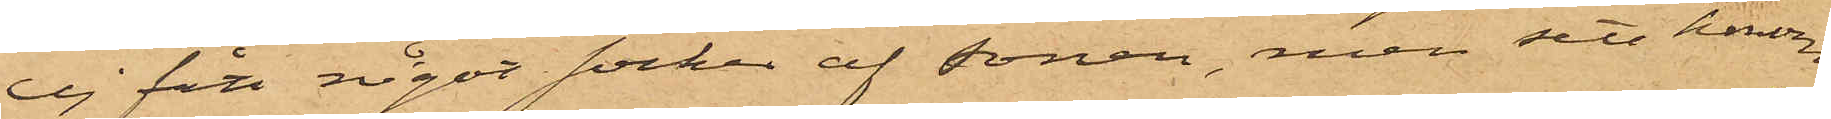ej fått något socker af sonen, men sett honom
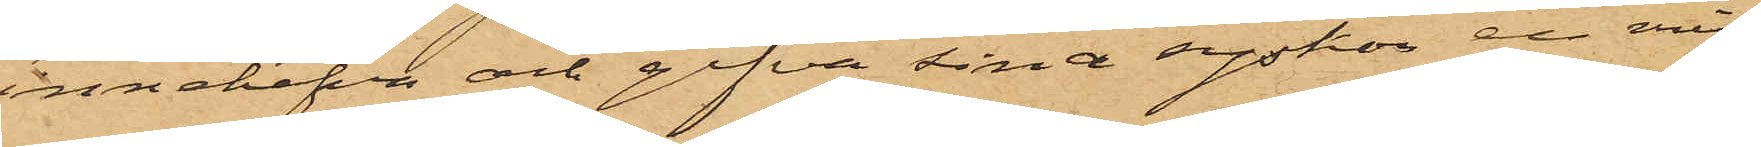innehafva och gifva sina syskon en min¬
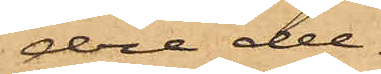dre del;
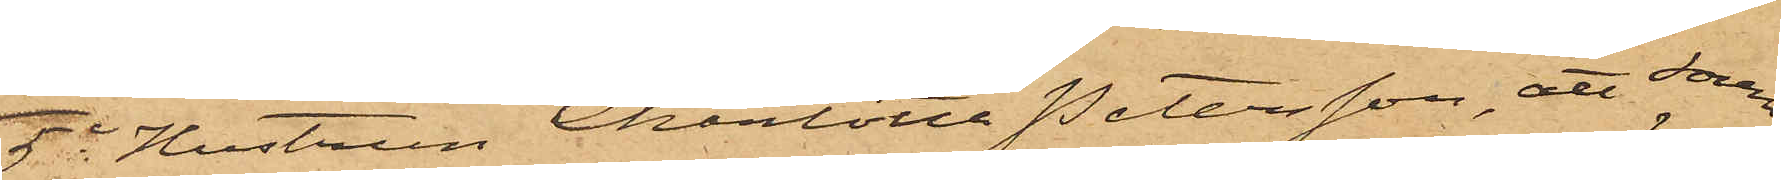5o Hustrun Charlotta Petersson, att sonen
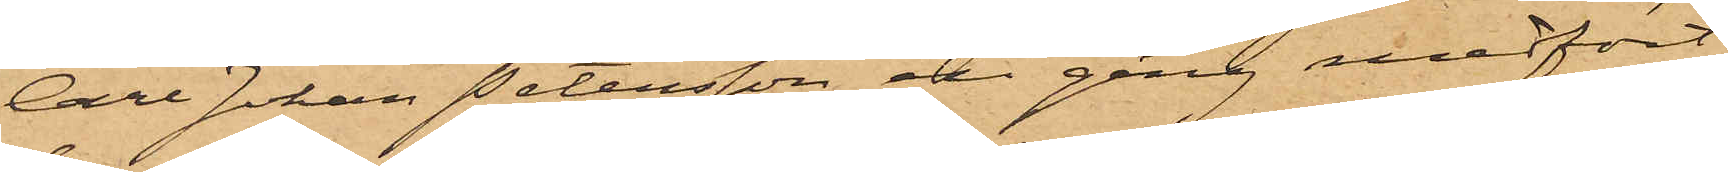Carl Johan Petersson en gång medfört
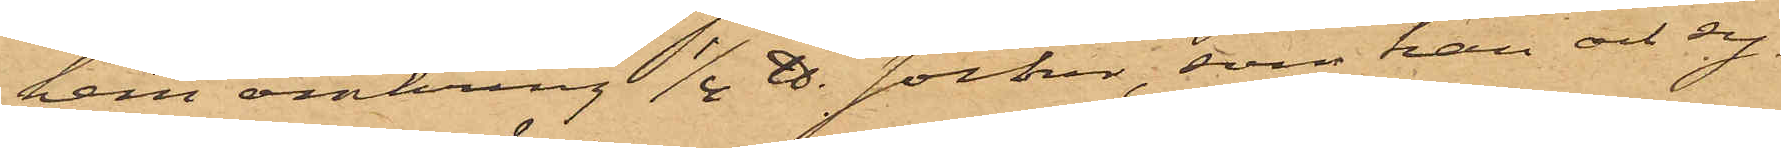hem omkring 1/4 ℔. socken, som han och sy¬
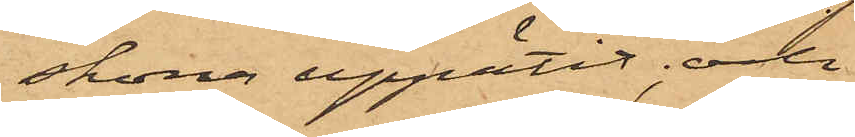skona uppätit; och
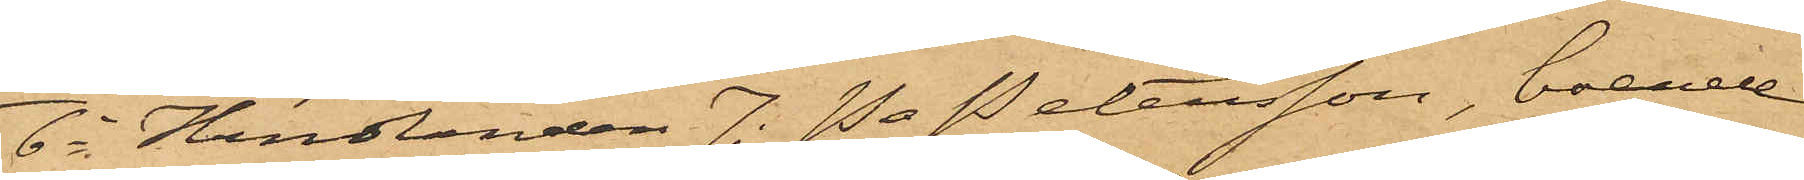6o Handlanden J.P. Petersson, boende
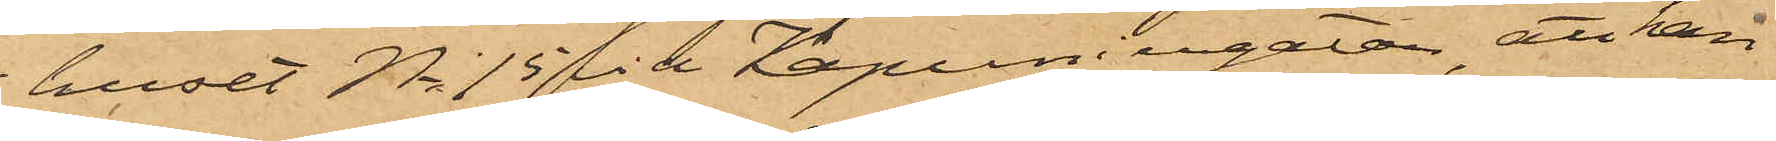huset No 15 vid Kapuniergatan, att han
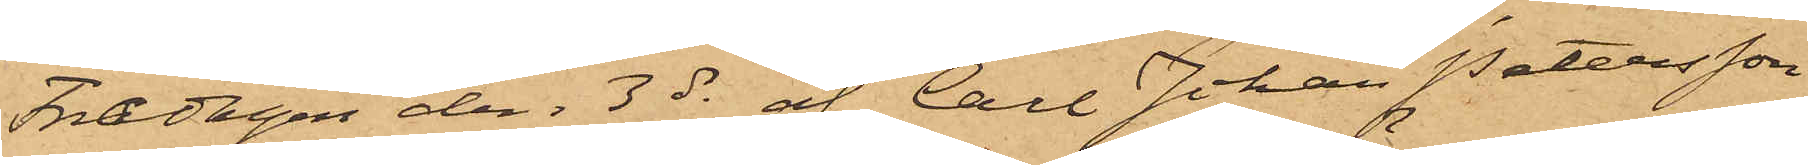Fredagen den 3 ds af Carl Johan Petersson
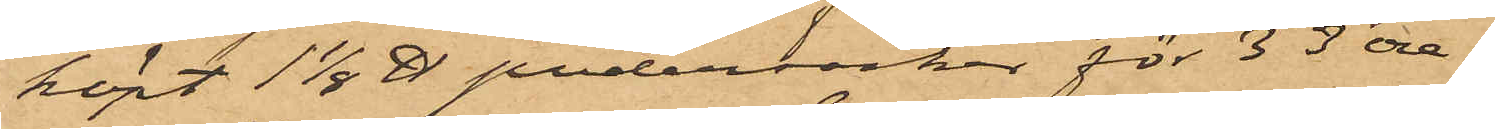köpt 1 1/8 ℔ pudersocker för 33 öre.
